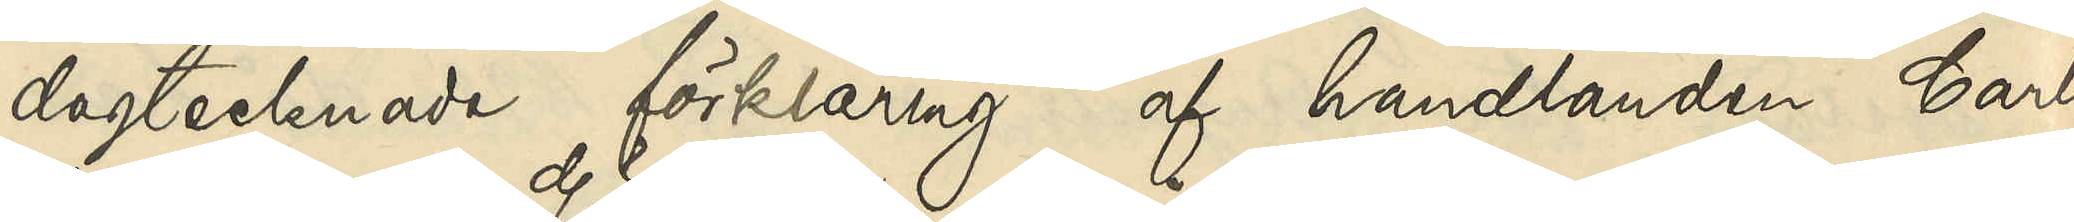dagtecknade förklaring "af handlanden Carl
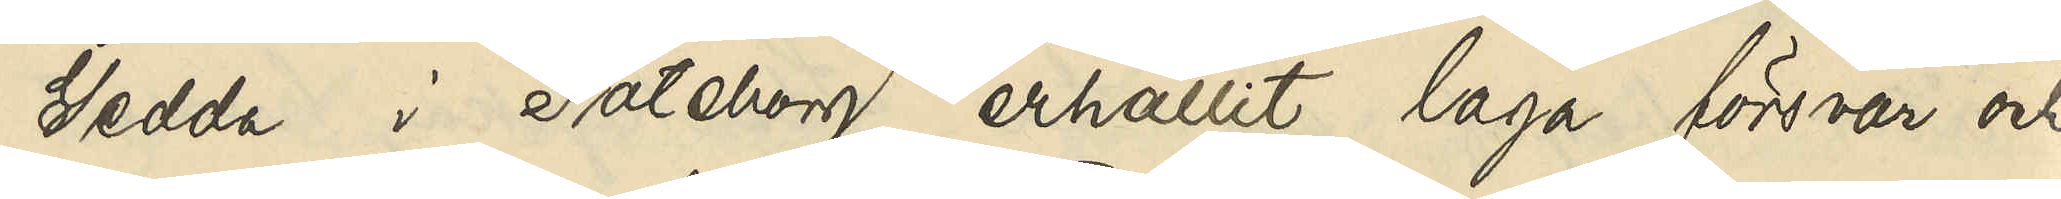Gedda i Göteborg erhållit laga försvar och
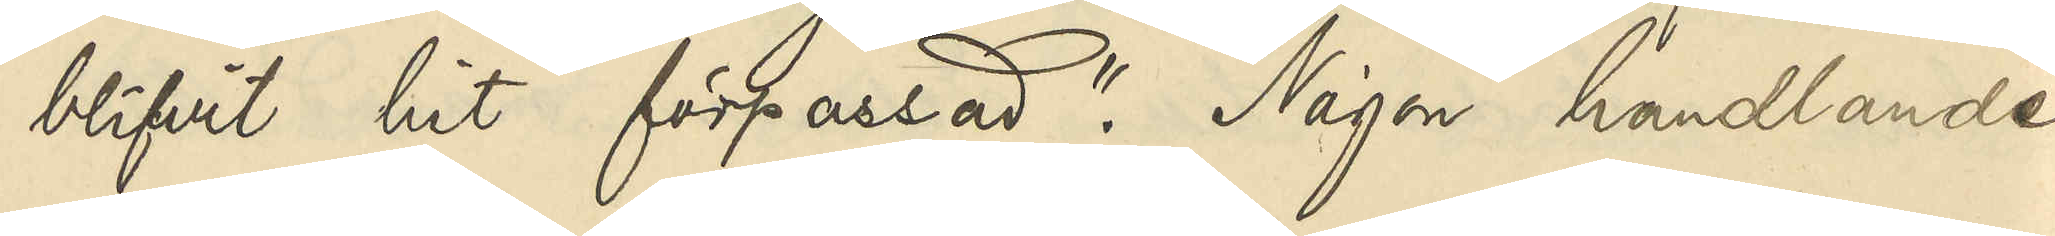blifvit hit förpassad". Någon handlande
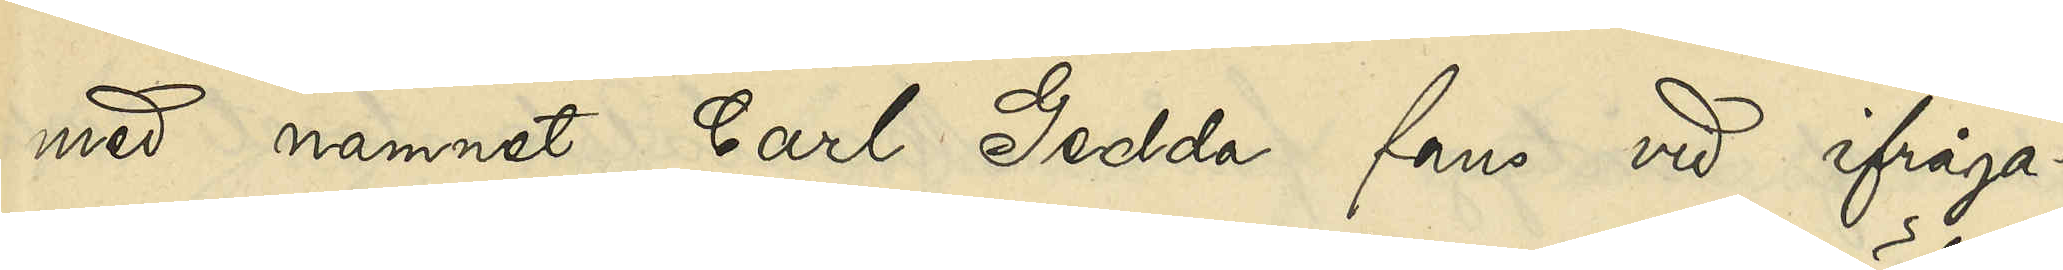med namnet Carl Gedda fans vid ifråga¬
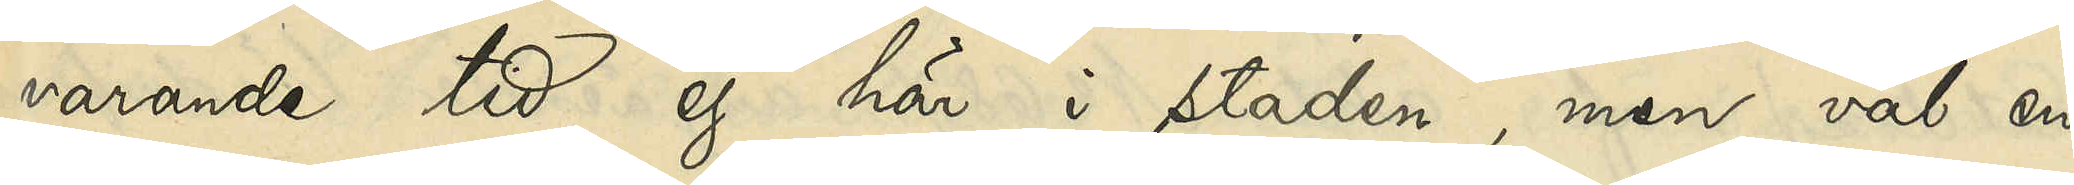varande tid ej här i staden, men väl en
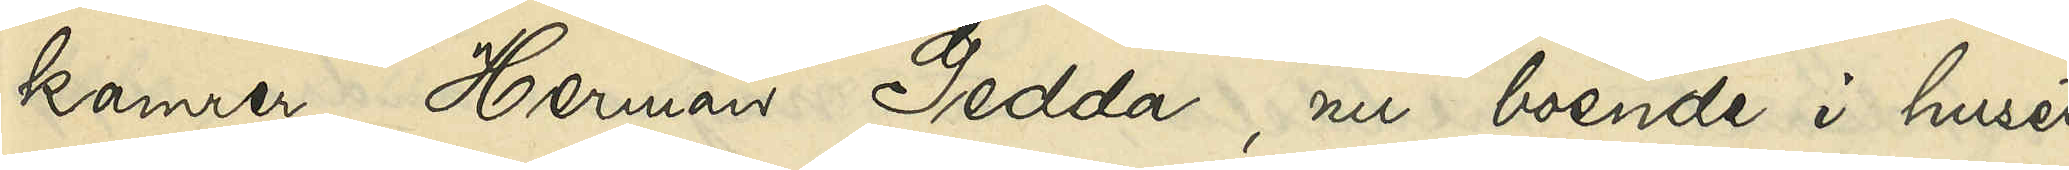kamrer Herman Gedda, nu boende i huset
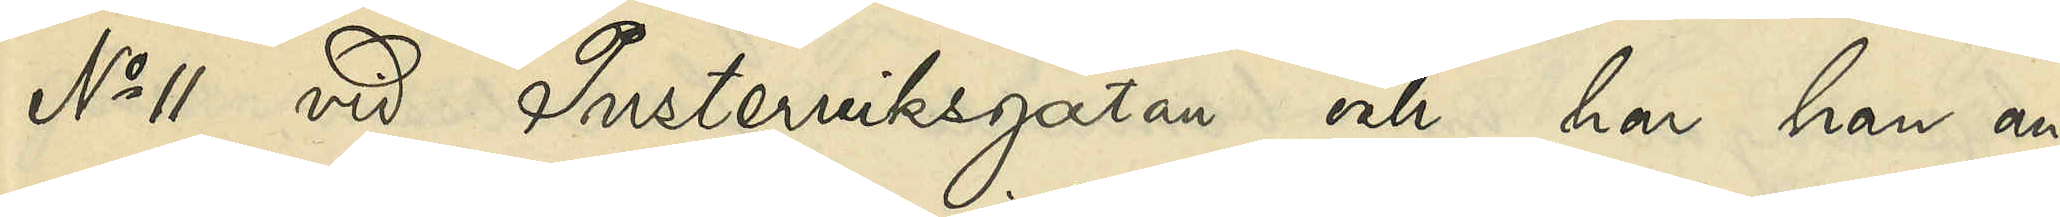No 11 vid Pusterviksgatan och har han an¬
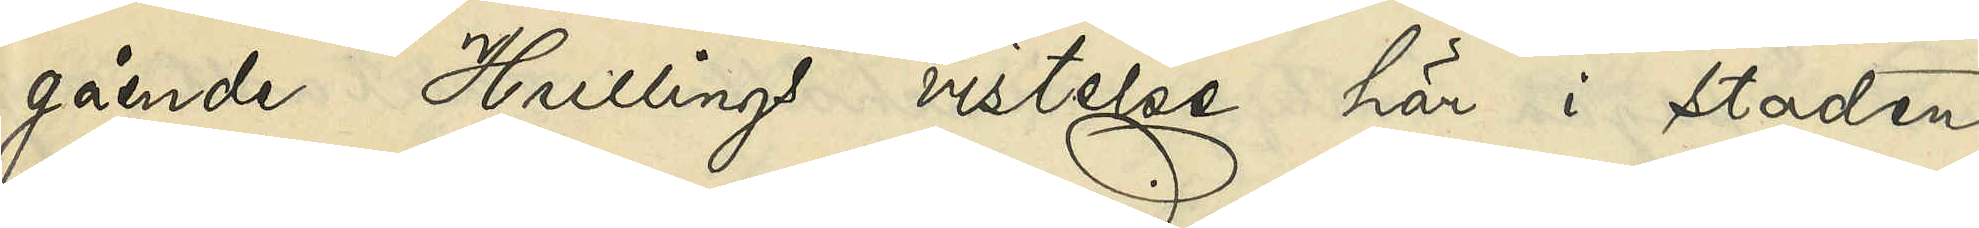gående Hullings vistelse här i staden
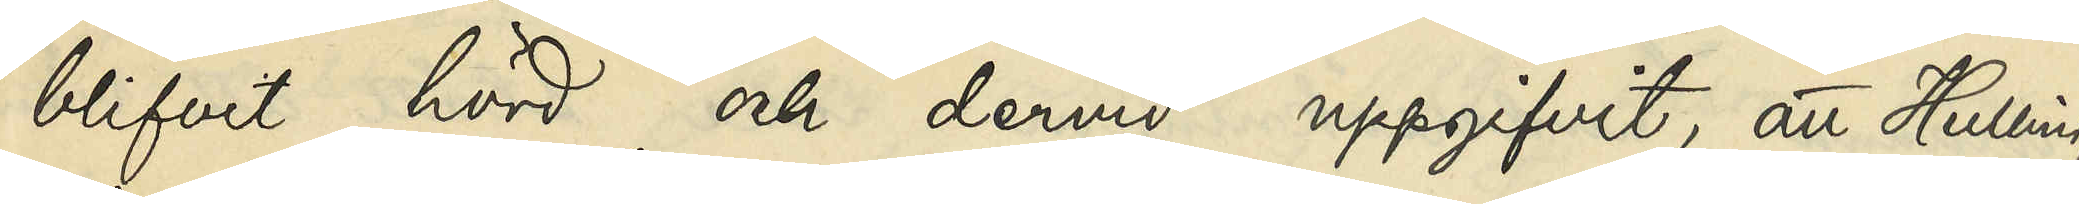blifvit hörd och dervid uppgifvit, att Hulling
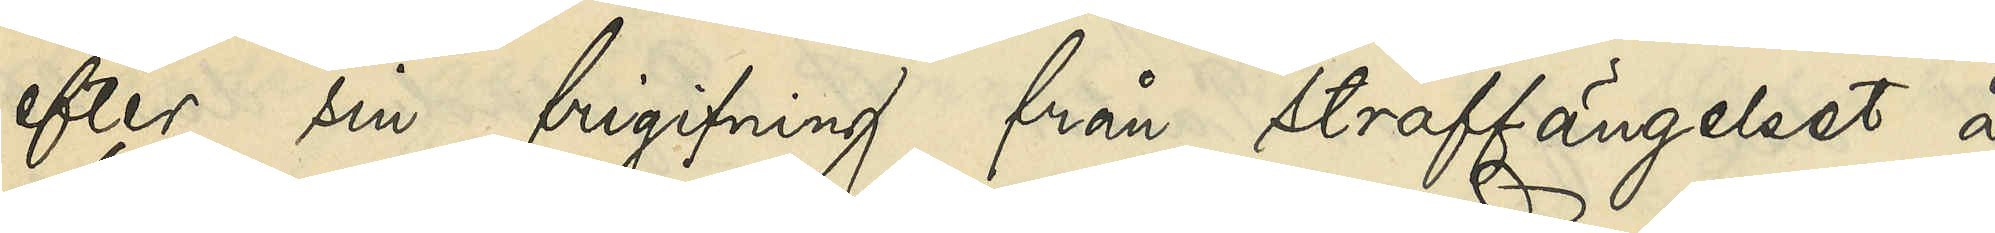efter sin frigifning från straffängelset å
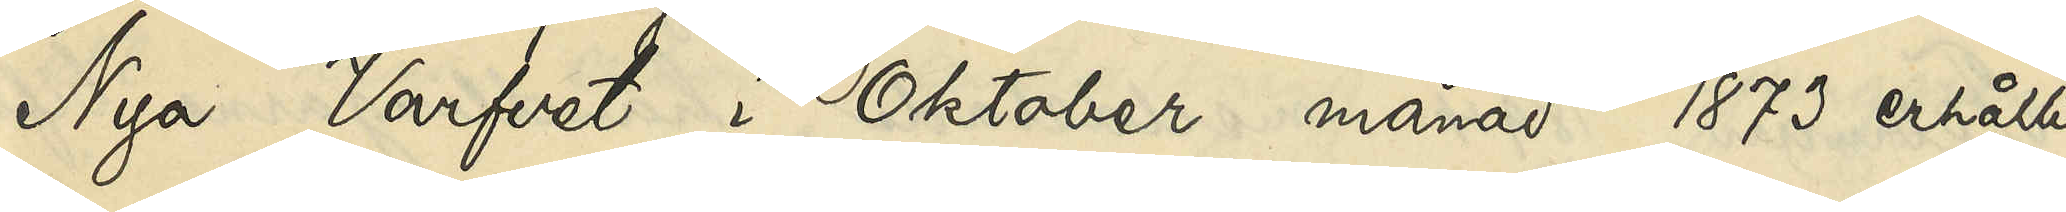Nya Varfvet i Oktober månad 1873 erhållit
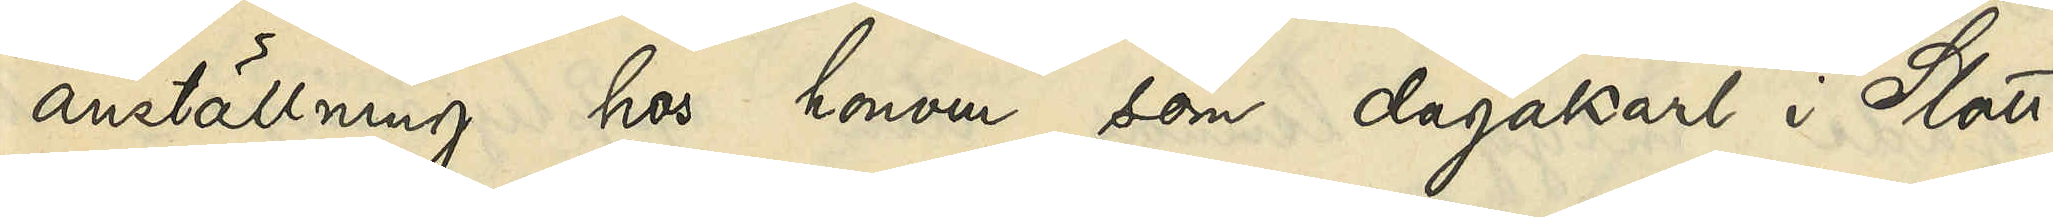anställning hos honom som dagakarl i Slotts¬
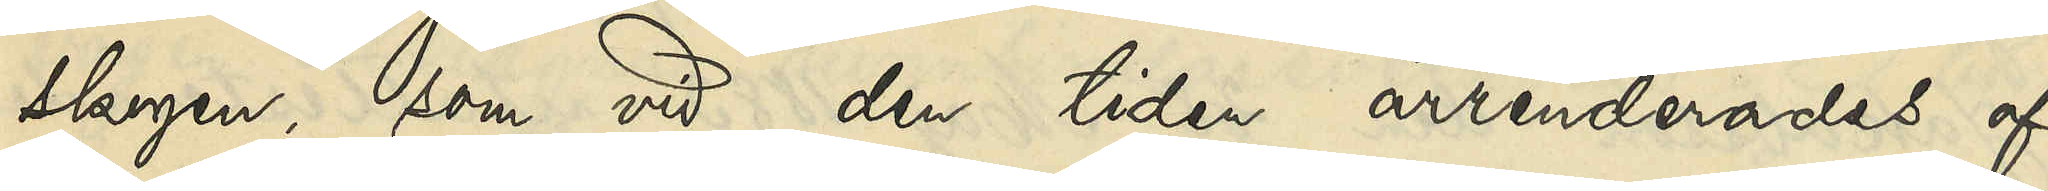skogen, som vid den tiden arrenderades af
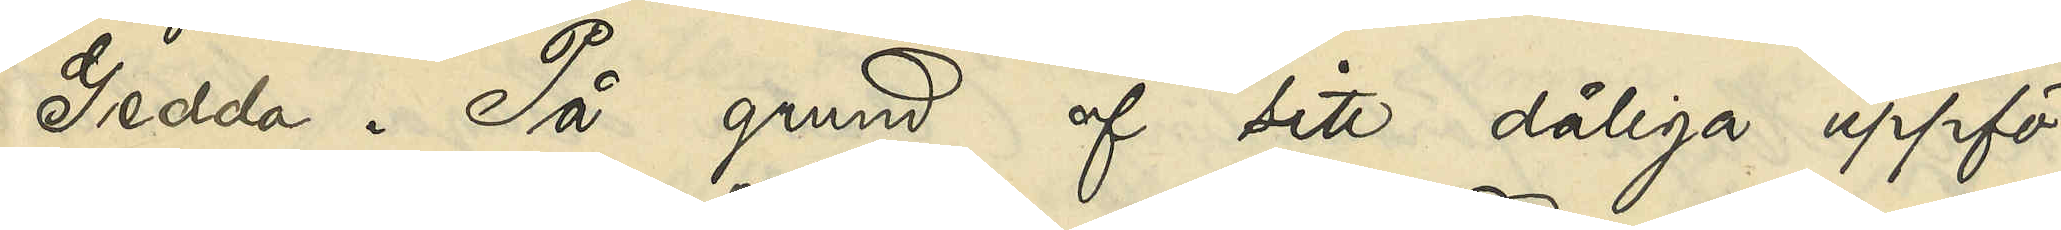Gedda. På grund af sitt dåliga uppfö¬
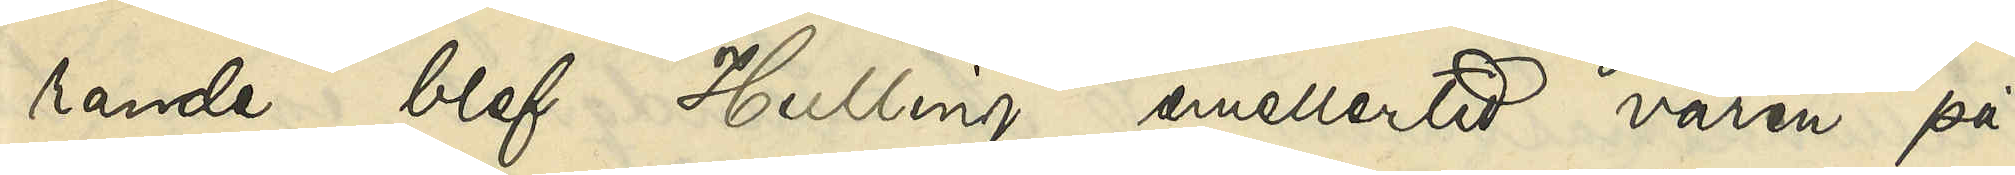rande blef Hulling emellertid våren på¬
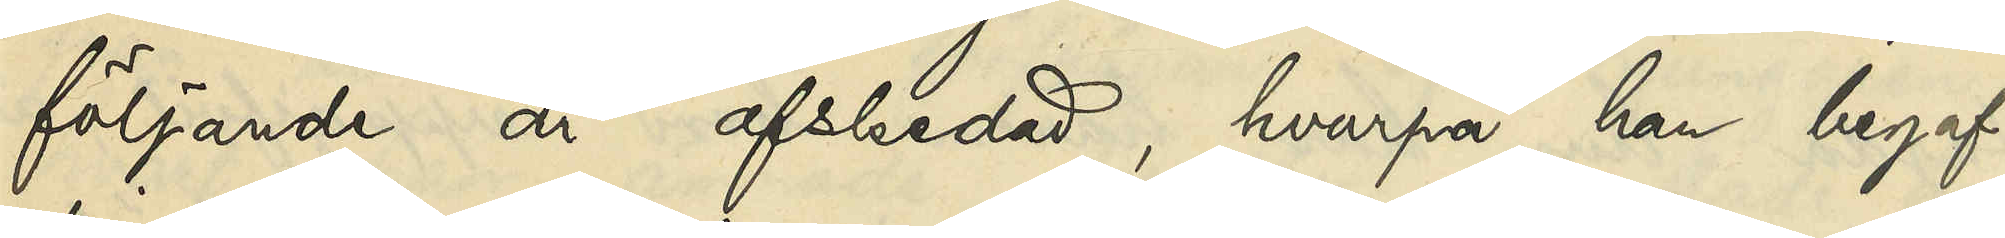följande år afskedad, hvarpå han begaf
